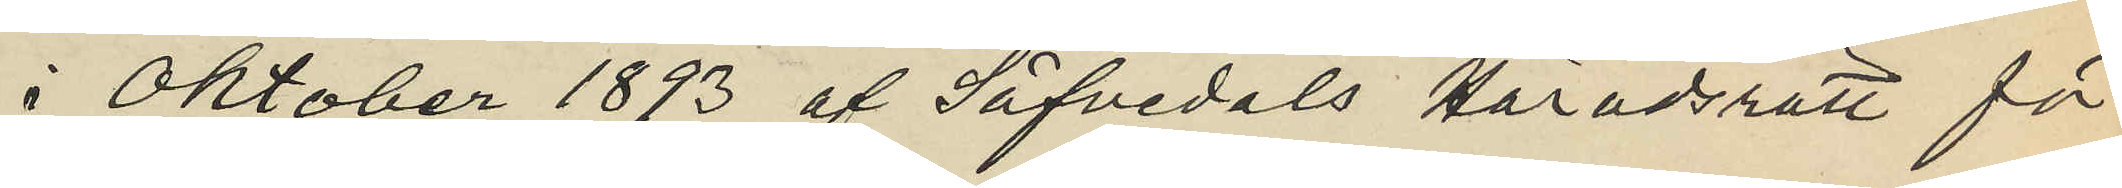i Oktober 1893 af Säfvedals Häradsrätt för
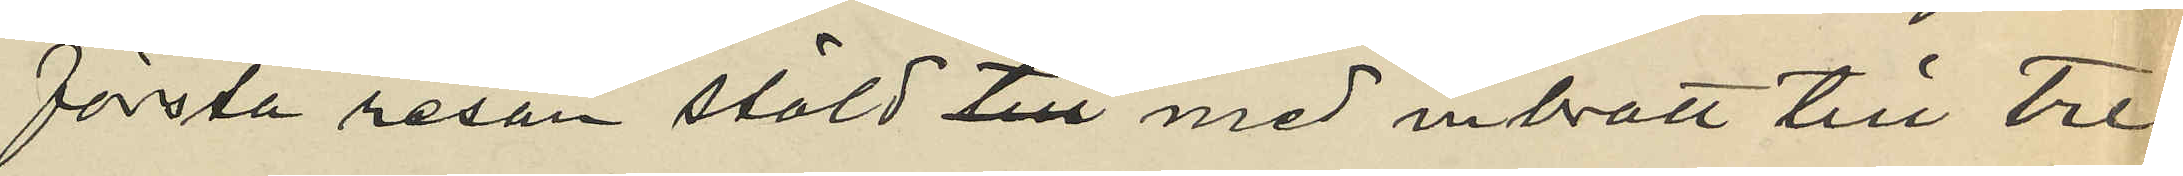första resan stöld med inbrott till tre¬
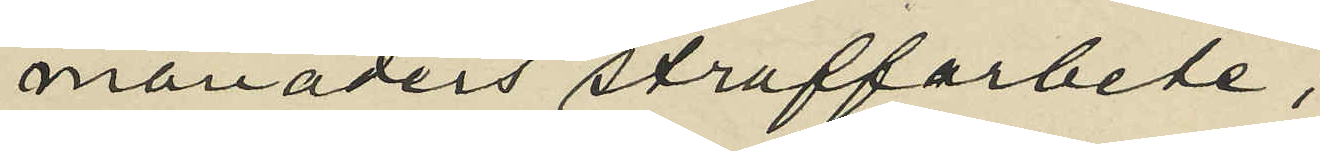månaders straffarbete,
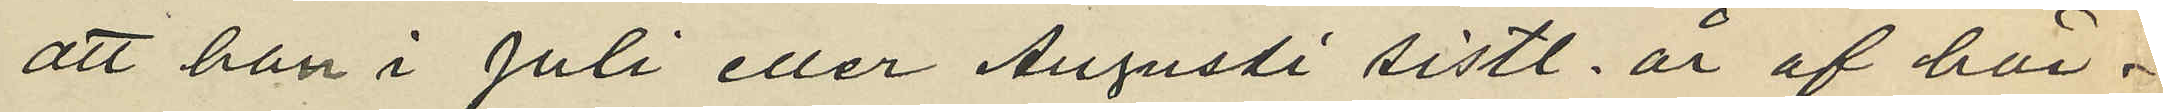att han i Juli eller Augusti sistl. år af här¬
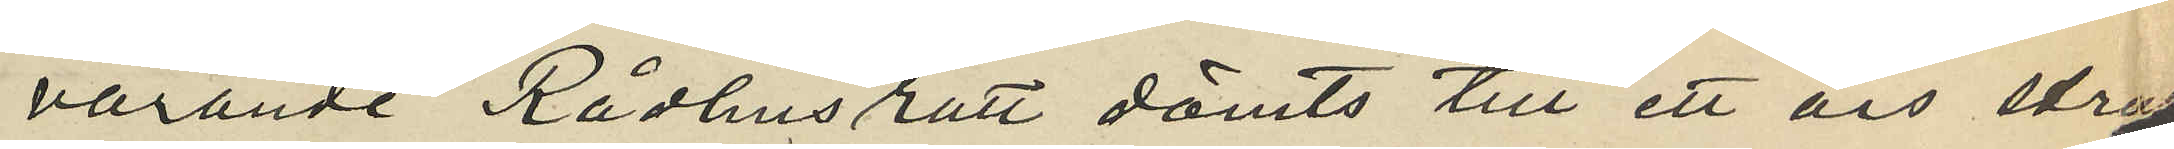varande Rådhusrätt dömts till ett års straff¬
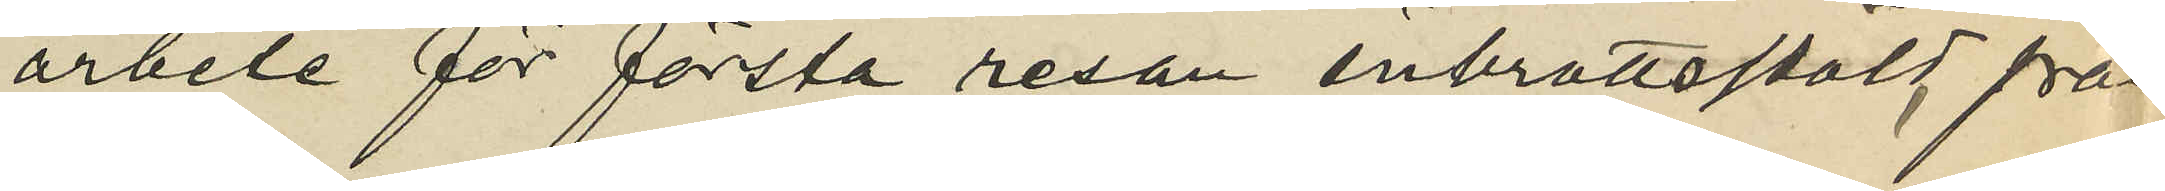arbete för första resan inbrottsstöld från
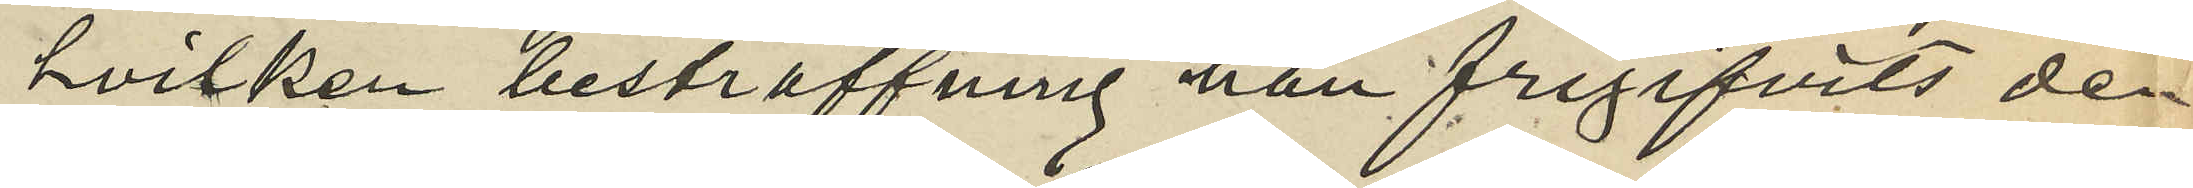hvilken bestraffning han frigifvits den
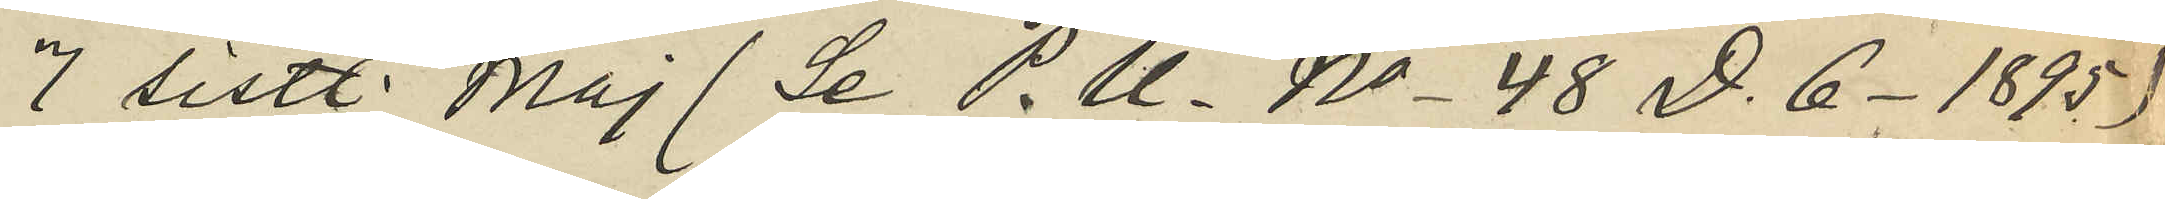7 sistl. Maj (Se P.U. No 48 D. 6 1895)
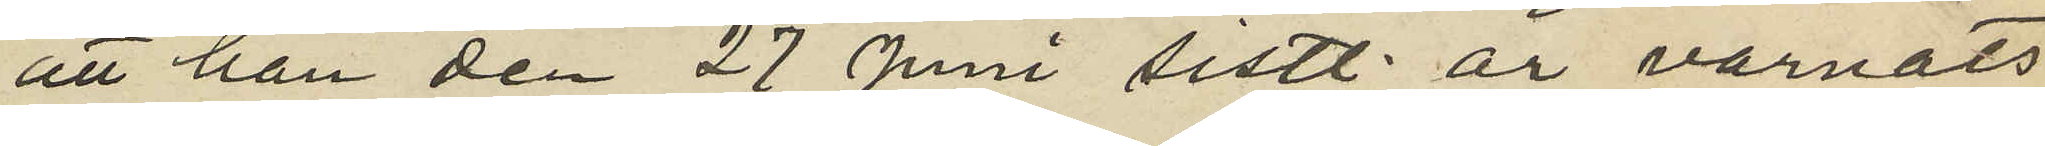att han den 27 Juni sistl. år varnats
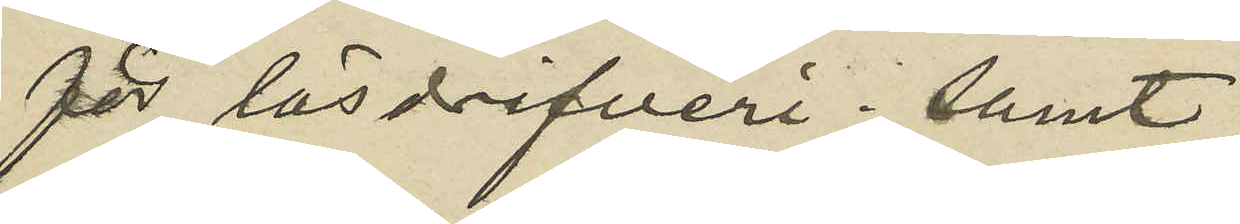för lösdrifveri; samt
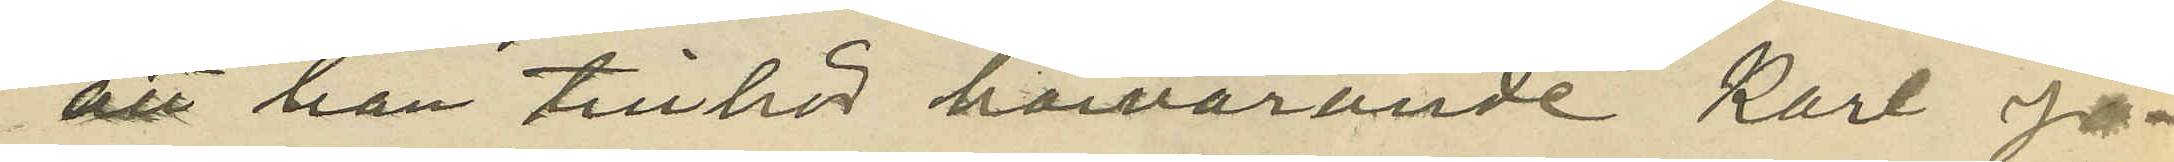att han tillhör härvarande Karl Jo¬
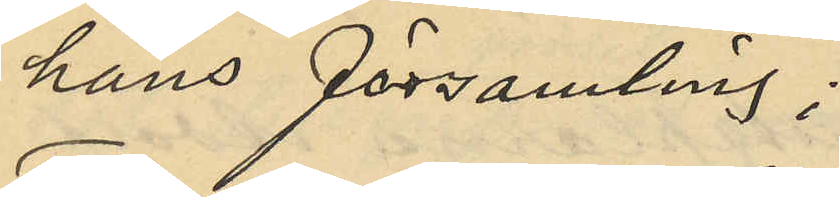hans församling;
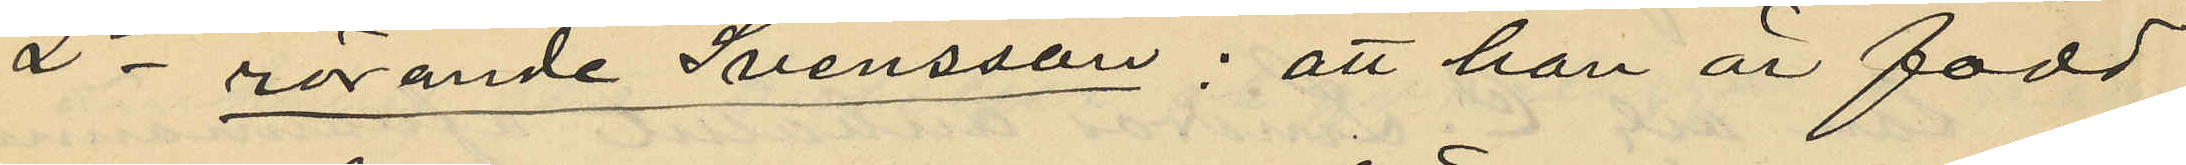2o rörande Svensson: att han är född
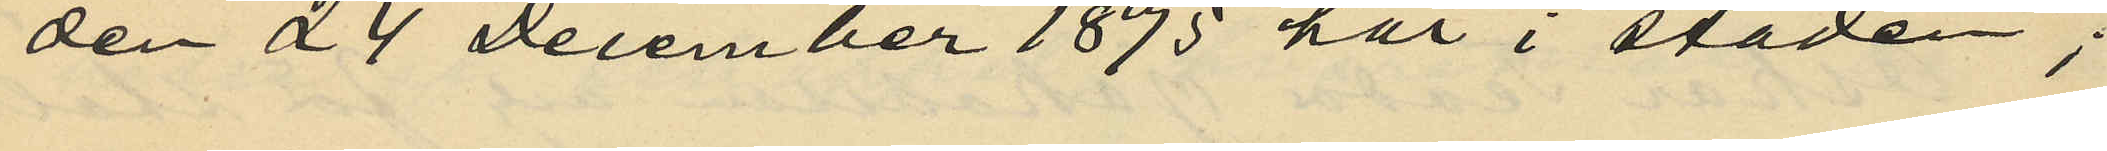den 24 December 1875 här i staden;
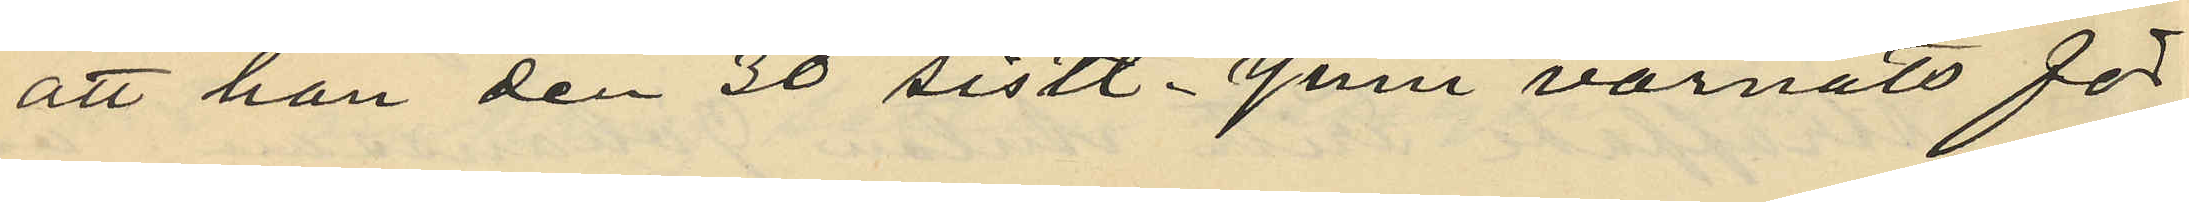att han den 30 sistl. Juni varnats för
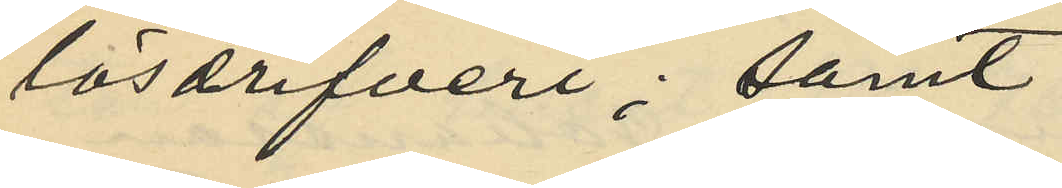lösdrifveri; samt
